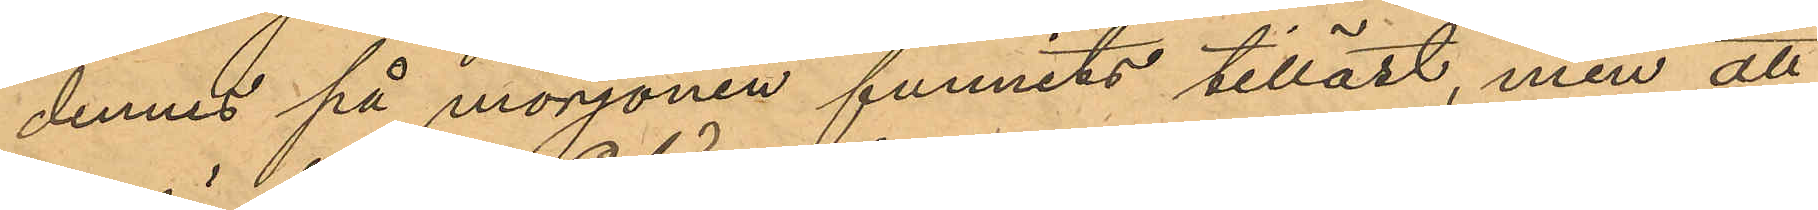dennes på morgonen funnits tilläst, men att
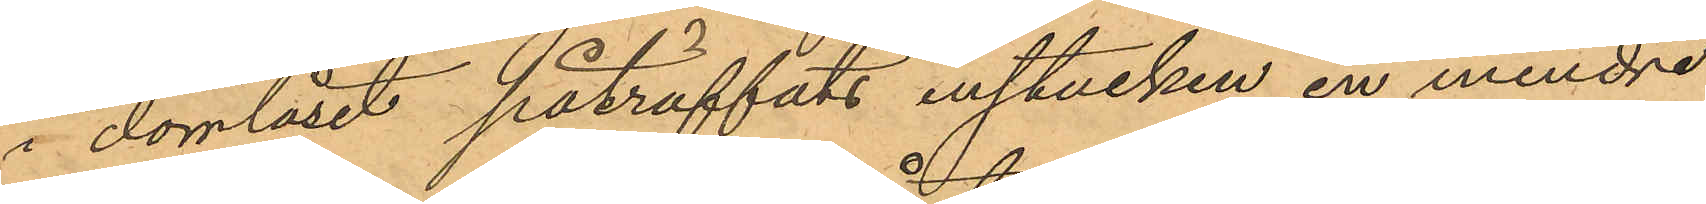i dörrlåset påträffats instucken en mindre
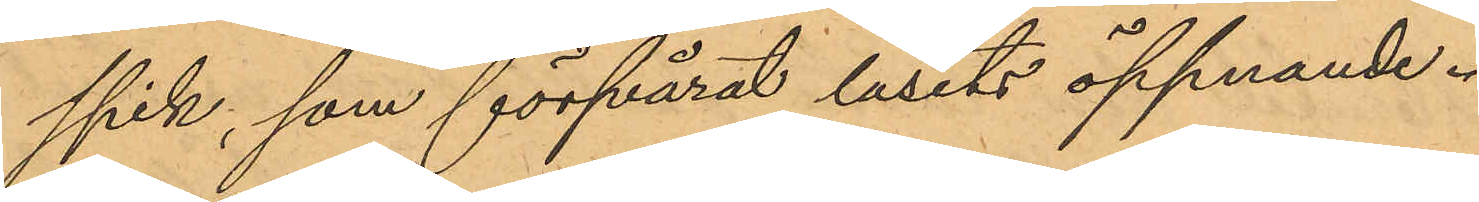spik, som försvårat låsets öppnande.
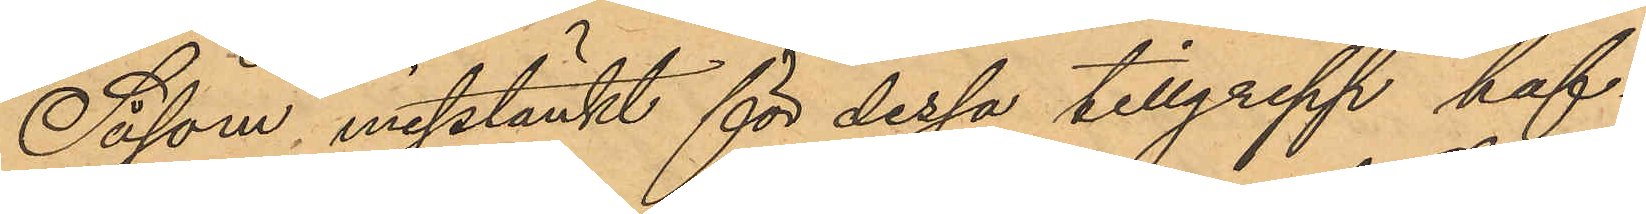Såsom misstänkt för dessa tillgrepp haf¬
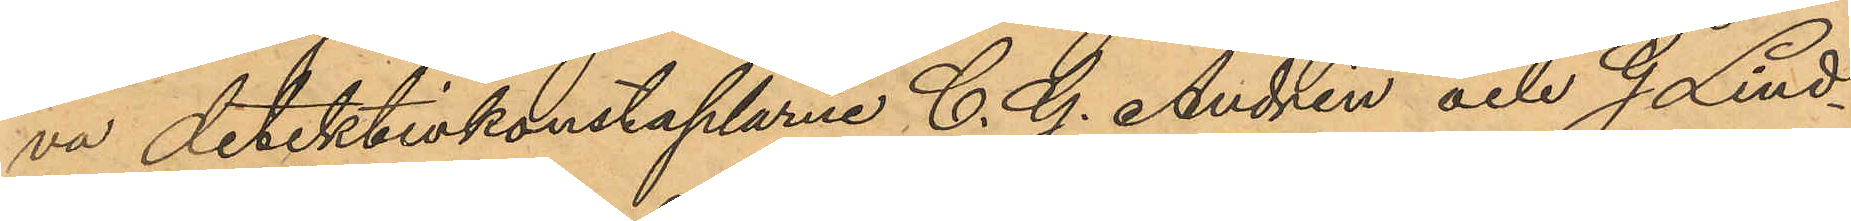va detektivkonstaplarne C. G. Andrén och G. Lind¬
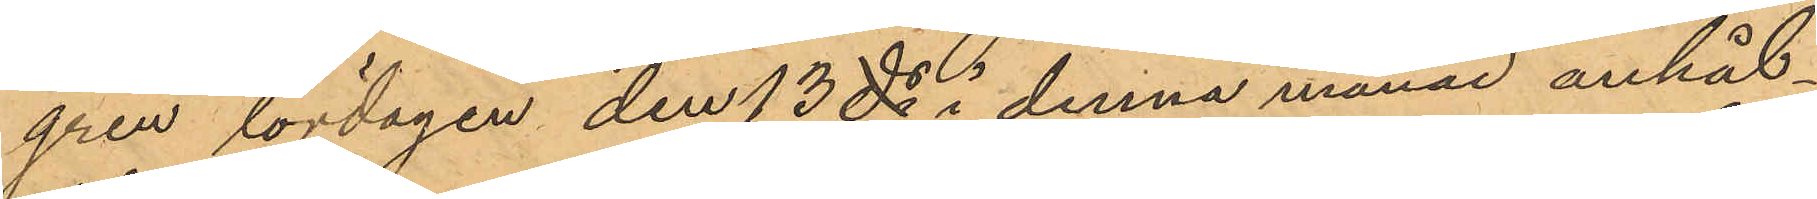gren lördagen den 13 ds i denna månad anhål¬
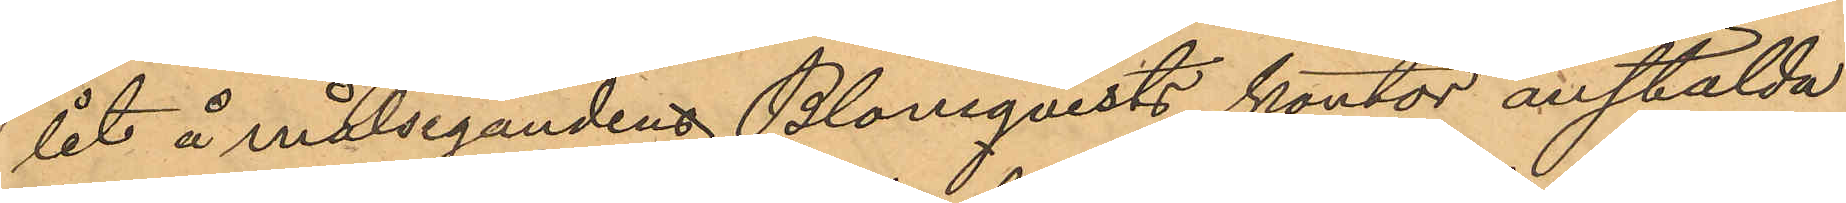lit å målsegandens Blomqvists kontor anstälda
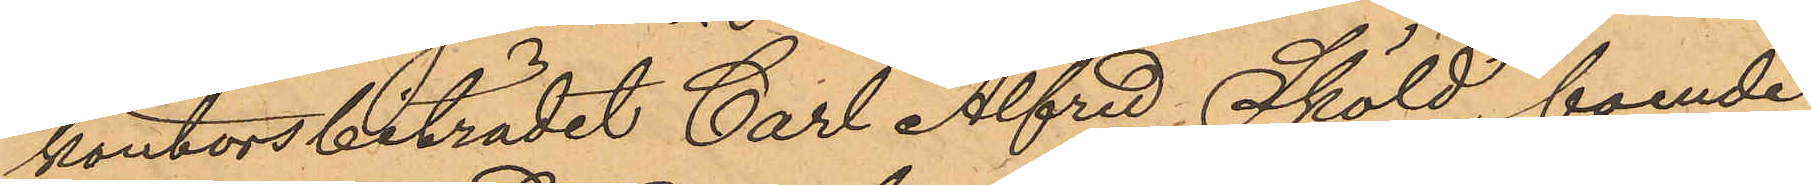kontorsbiträdet Carl Alfred Sköld, boende
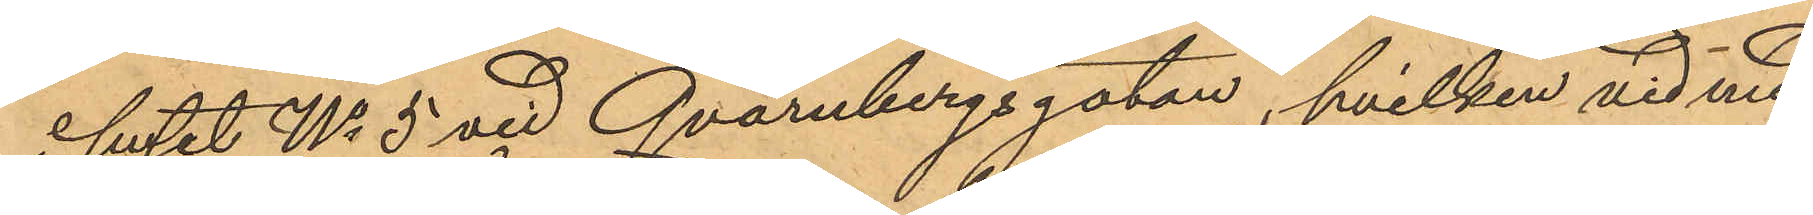huset No 5 vid Qvarnbergsgatan, hvilken vid med
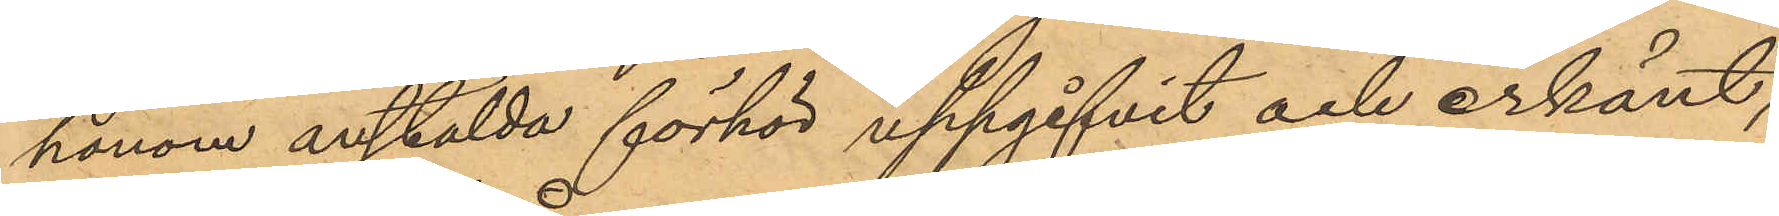honom anstälda förhör uppgifvit och erkänt,
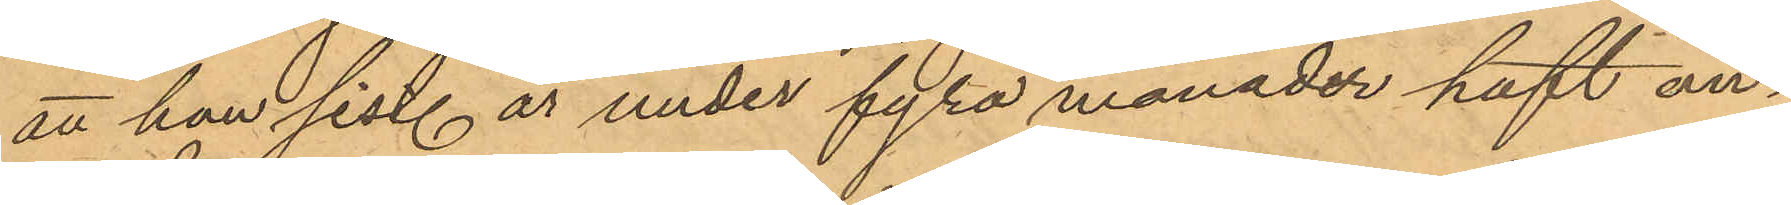att han sist. år under fyra månader haft an¬
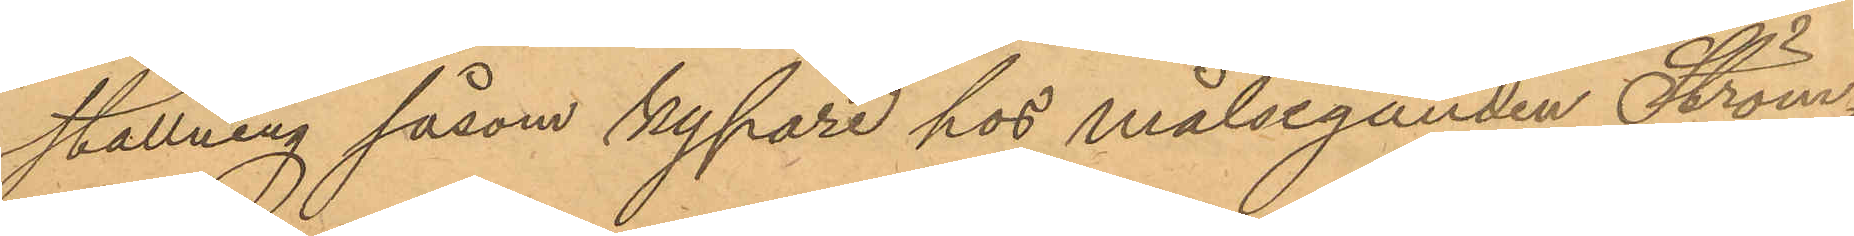ställning såsom kypare hos målseganden Ström¬
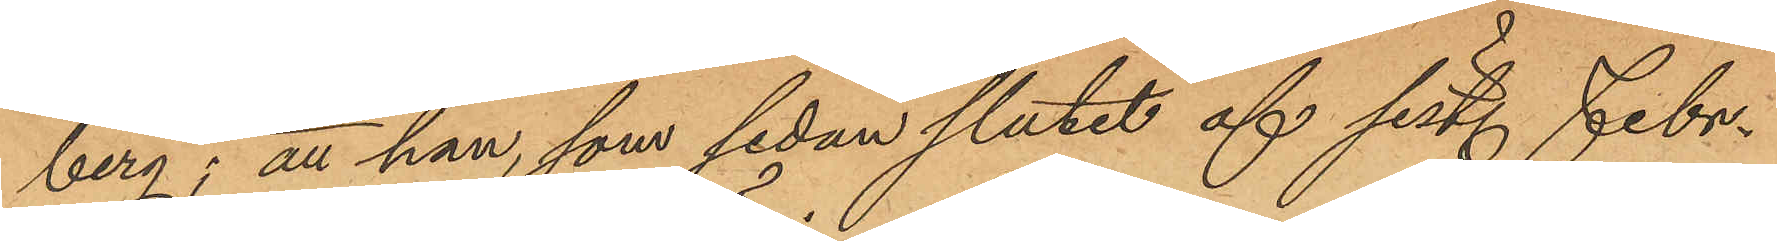berg; att han, som sedan slutet af sist. Febr.
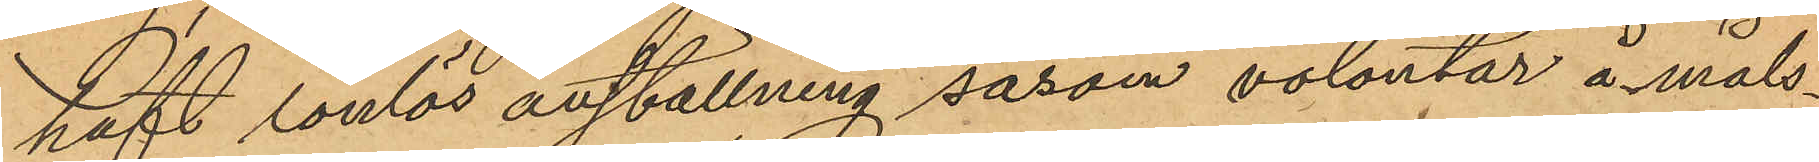haft lönlös anställning såsom volontär å måls¬
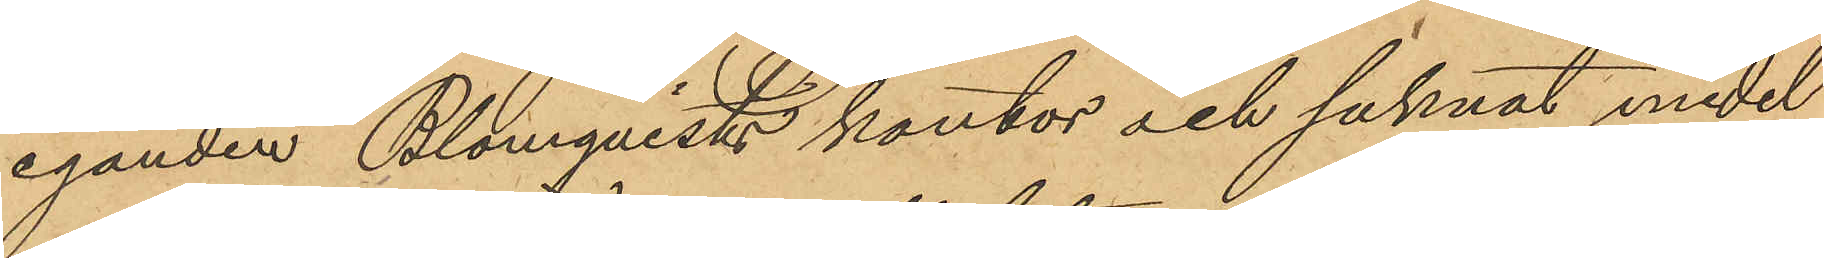eganden Blomqvists kontor och saknat medel
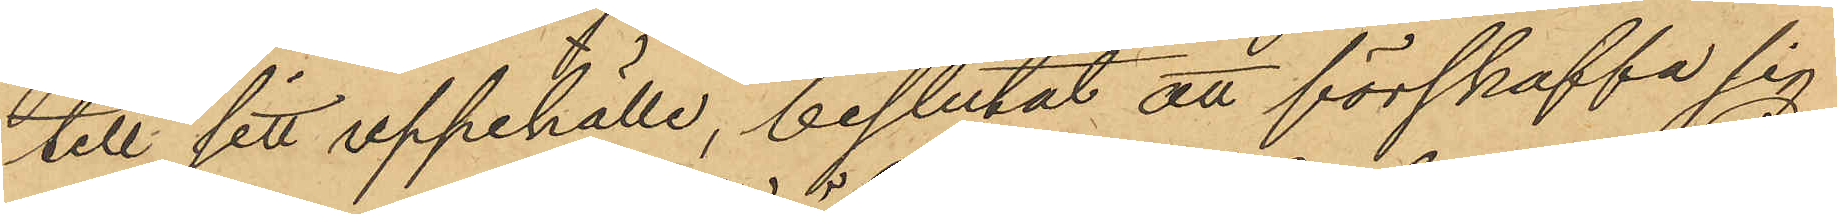till sitt uppehälle, beslutat att förskaffa sig
